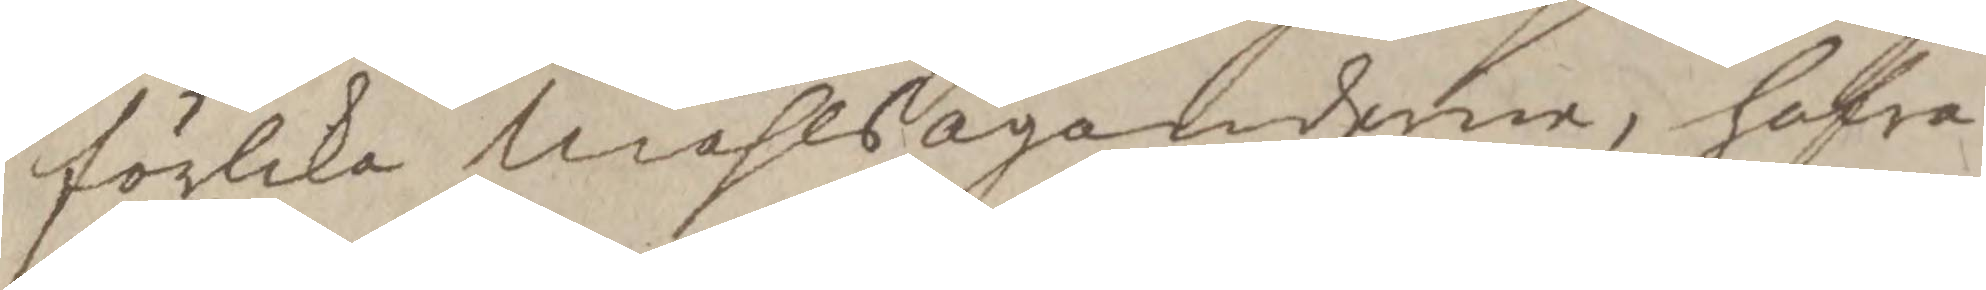förlika Måhlsägandene, hafva
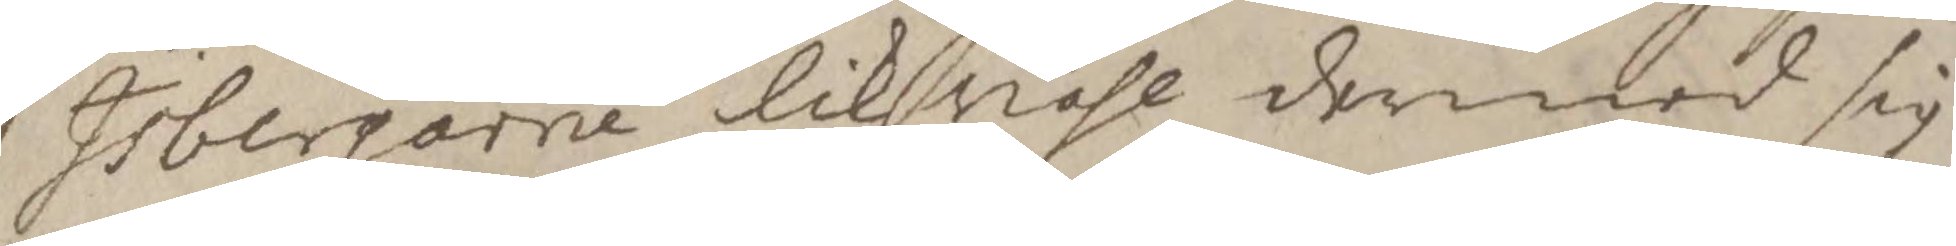Isbergarne likvähl dermed sig
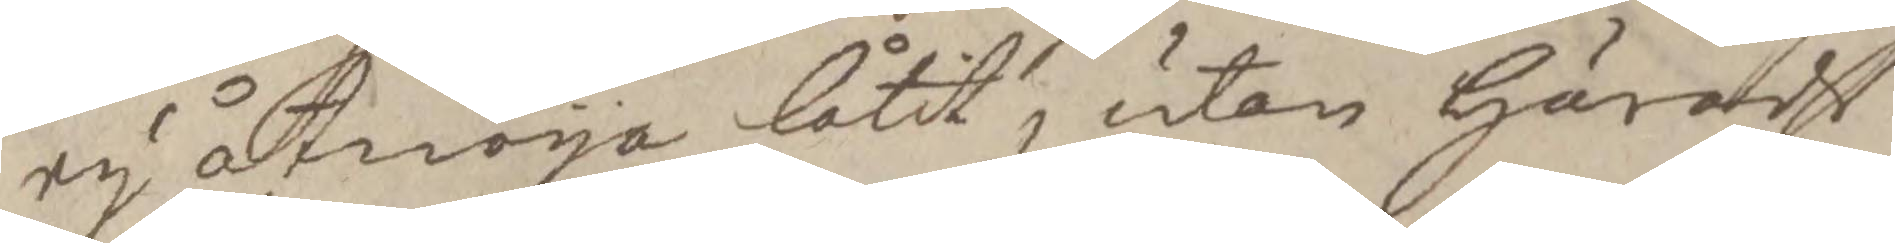ey åtnöya låtit, utan Härads
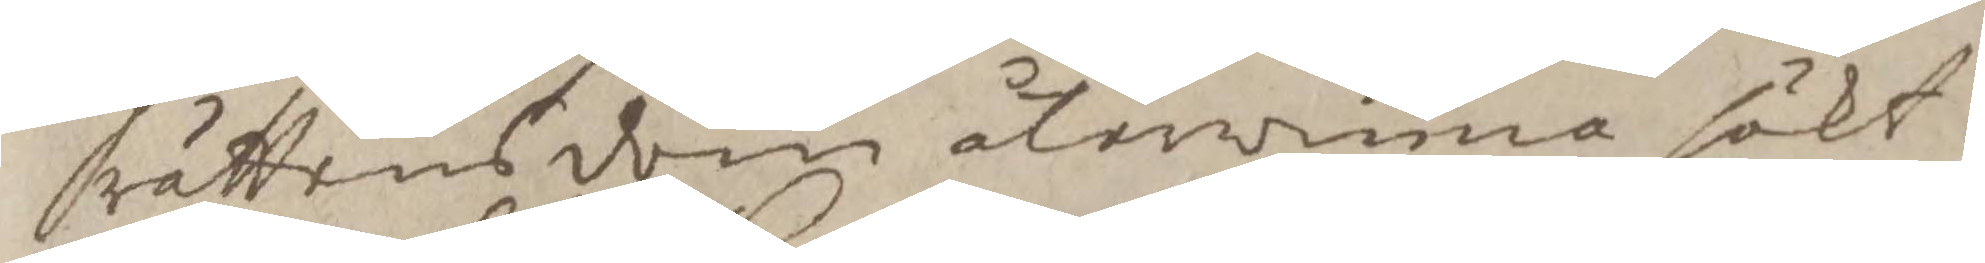rättens dom återvinna sökt;
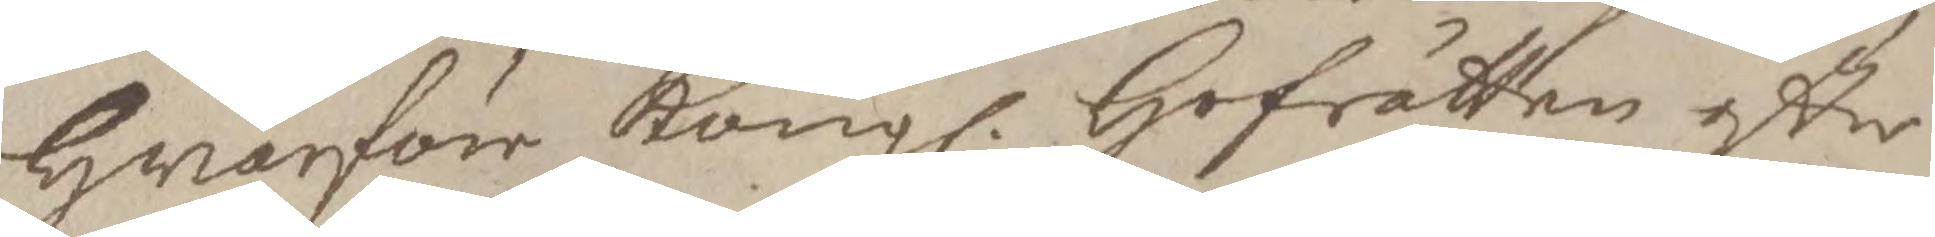Hwarföre Kongl. Hofrätten efter
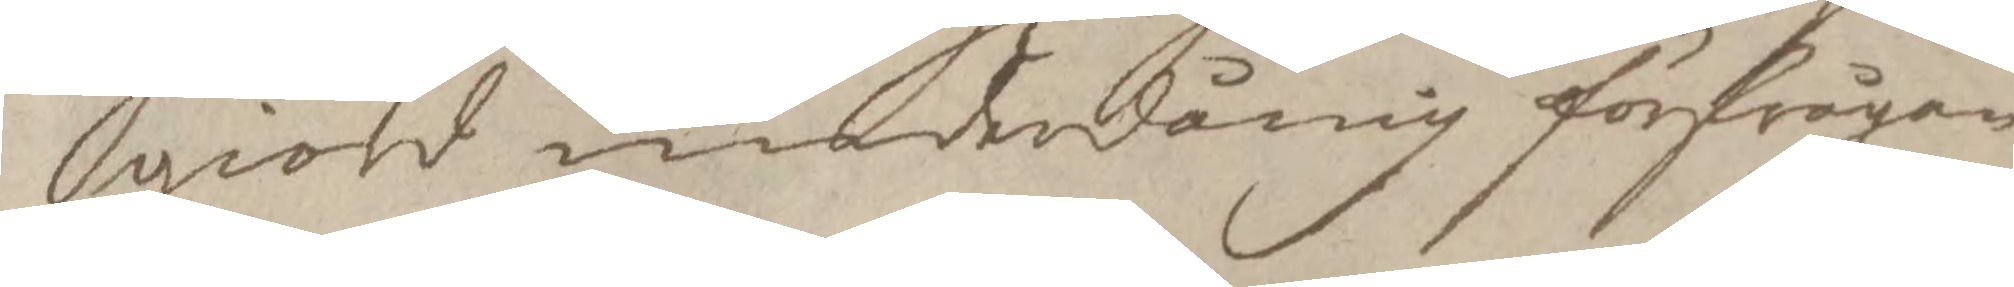giord underdånig förfrågan
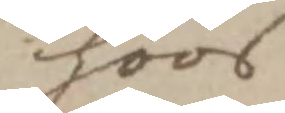hoos
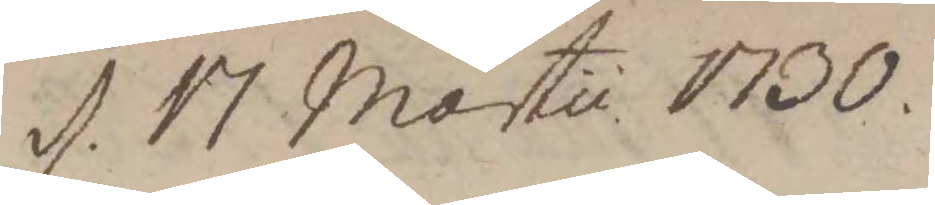d. 17 Martii 1730.
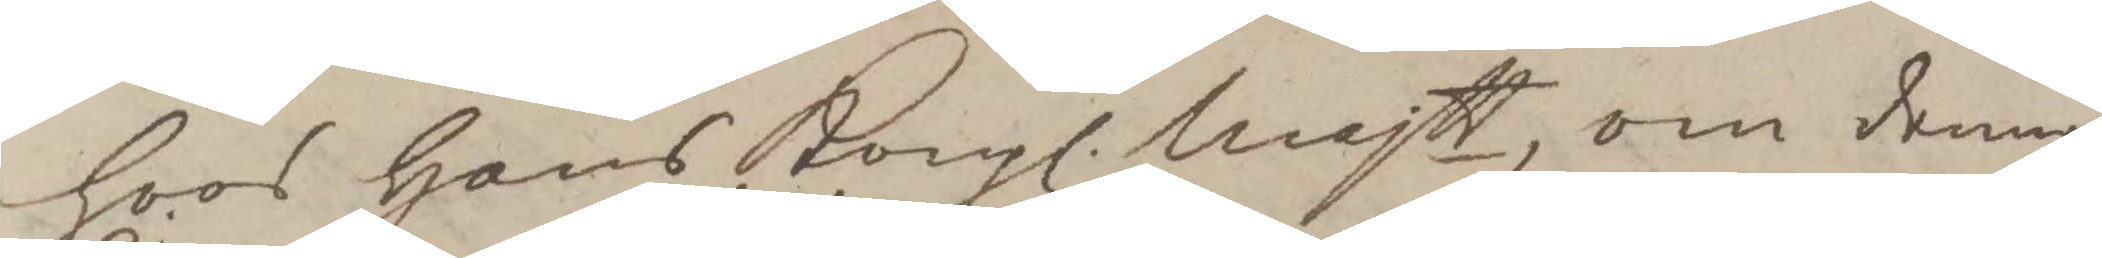hoos Hans Kongl. Majtt, om denne
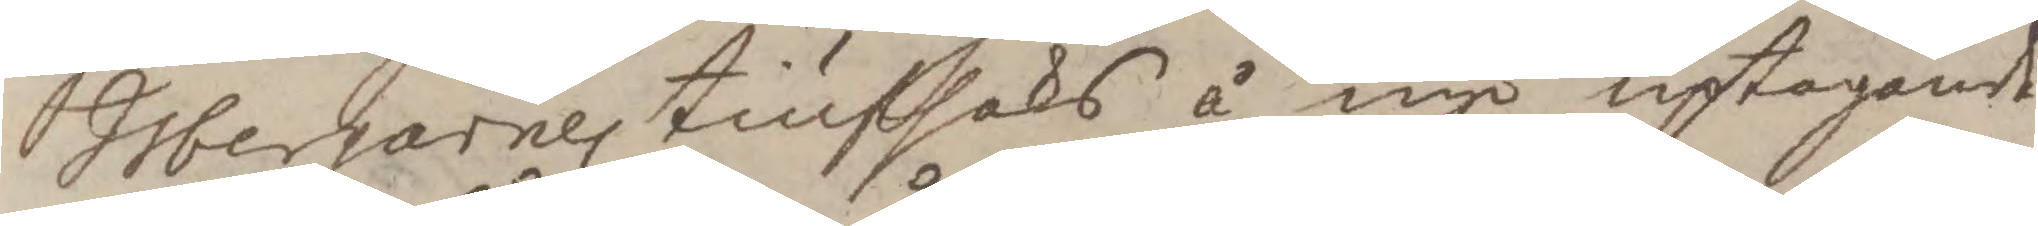Isbergarnes tiufsaks å nyo uptagande,
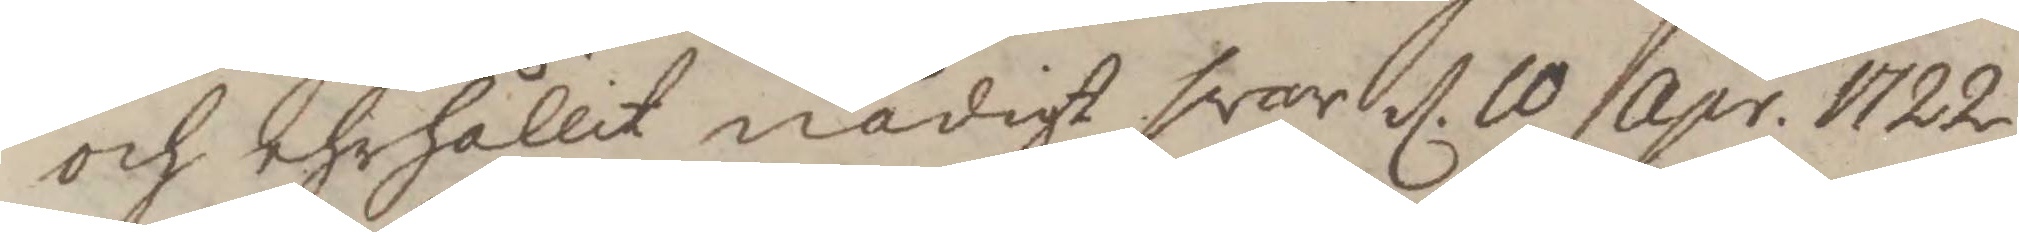och ehrhållit nåfigt svar d. 10 Apr. 1722
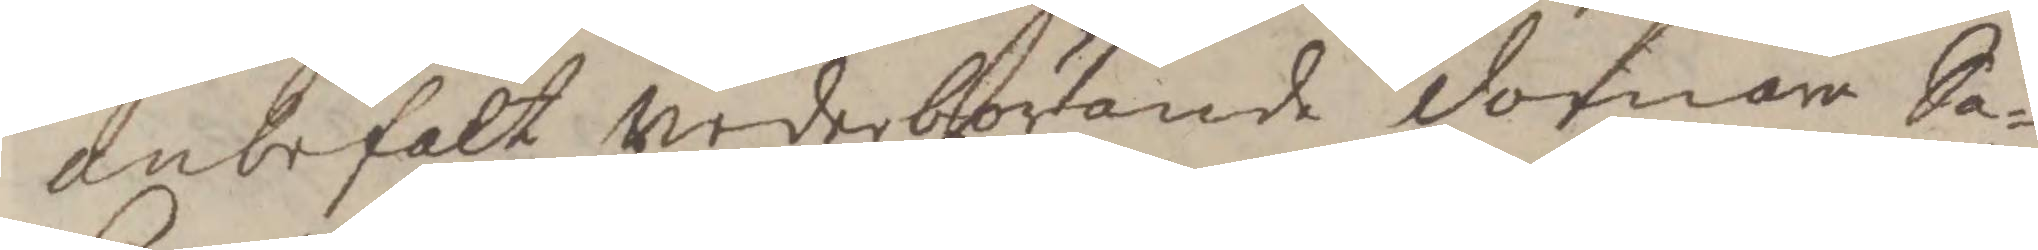anbefalt wederbörande domare Sa¬
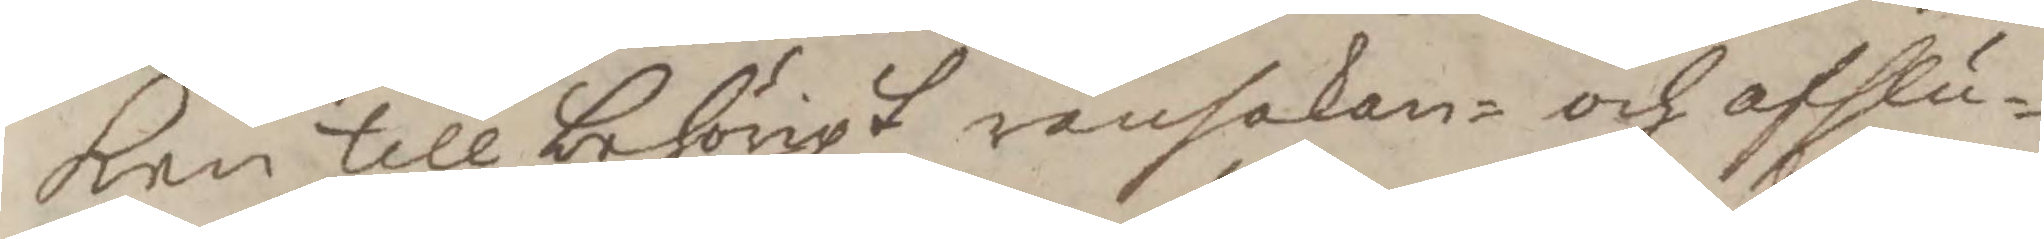ken till behörigt ransakan- och afslu¬
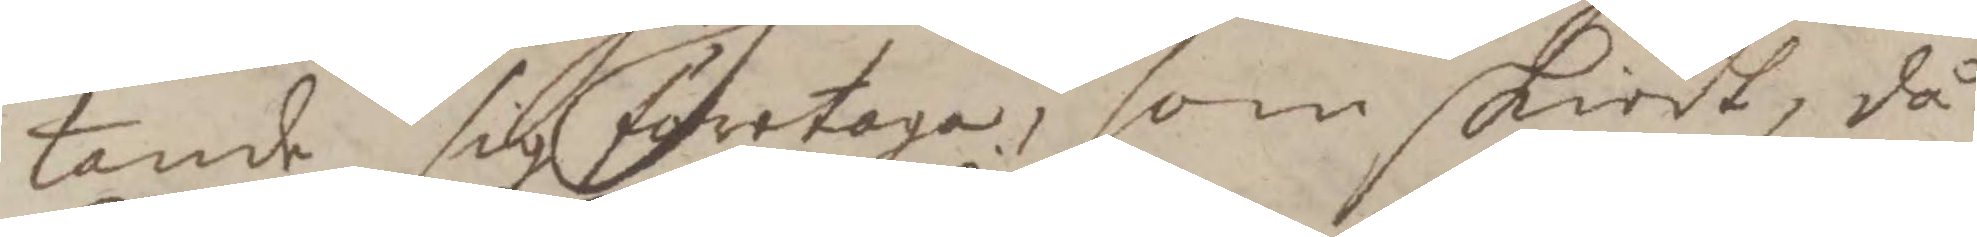tande sig företaga, som skiedt, då
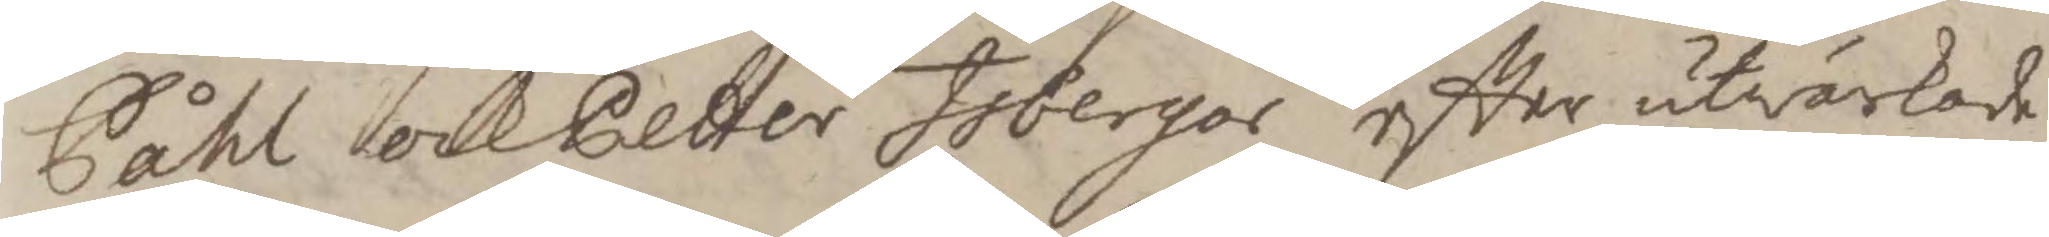Påhl och Petter Isbergor efter utvärkade
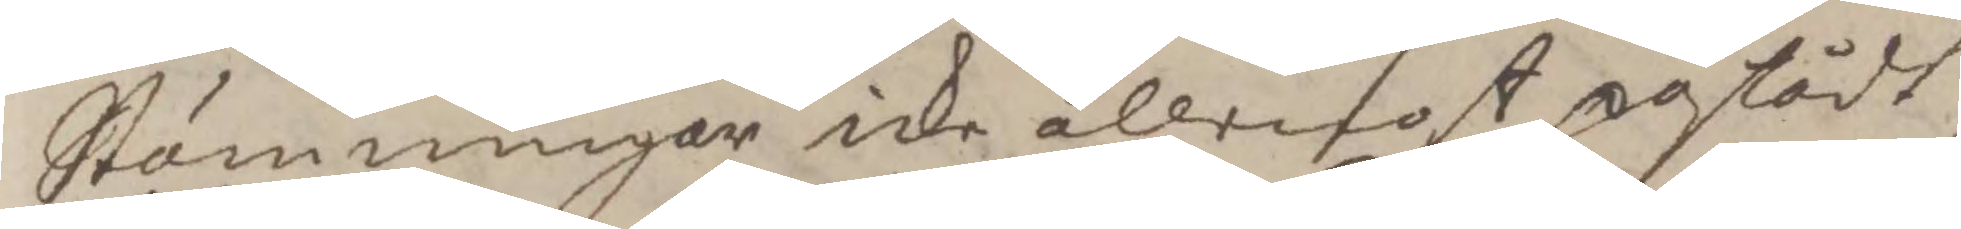Stäningar icke allena påstådt
